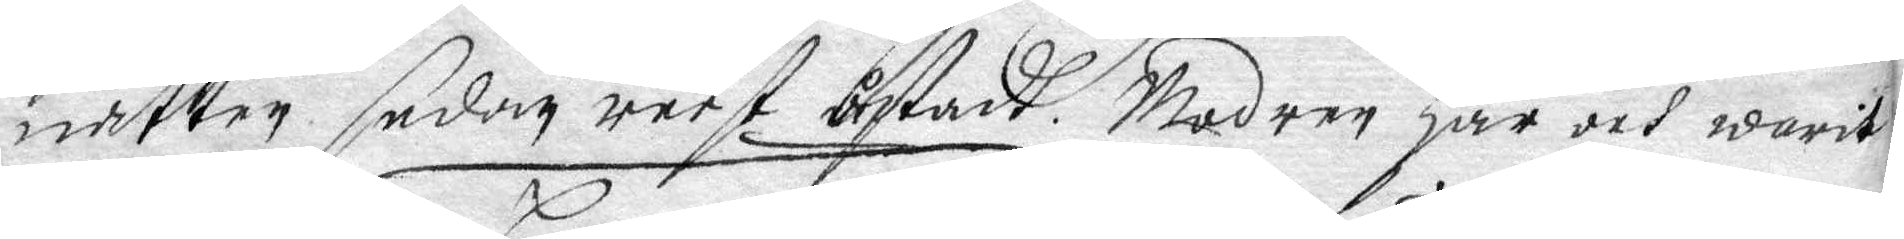natten sedan reest åstadh. Modren har och warit
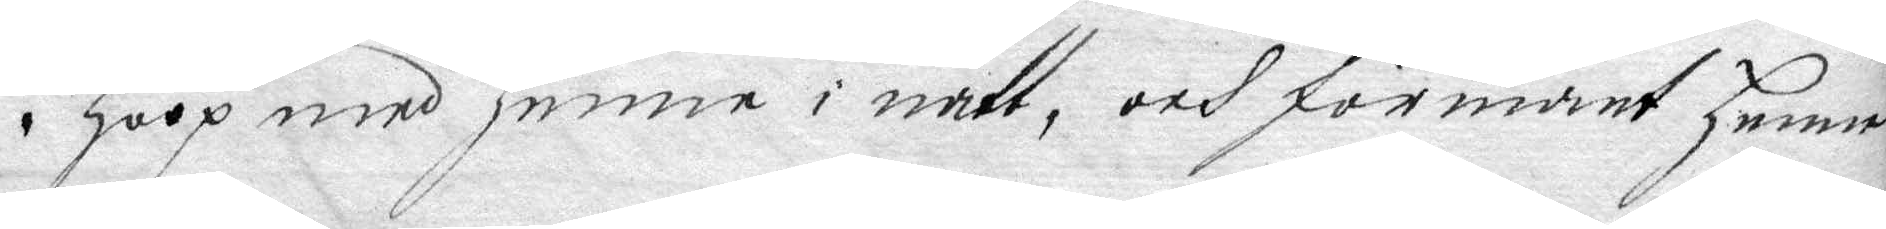i hoop med henne i natt, och förmant henne
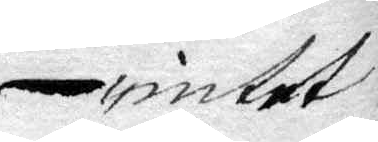intet
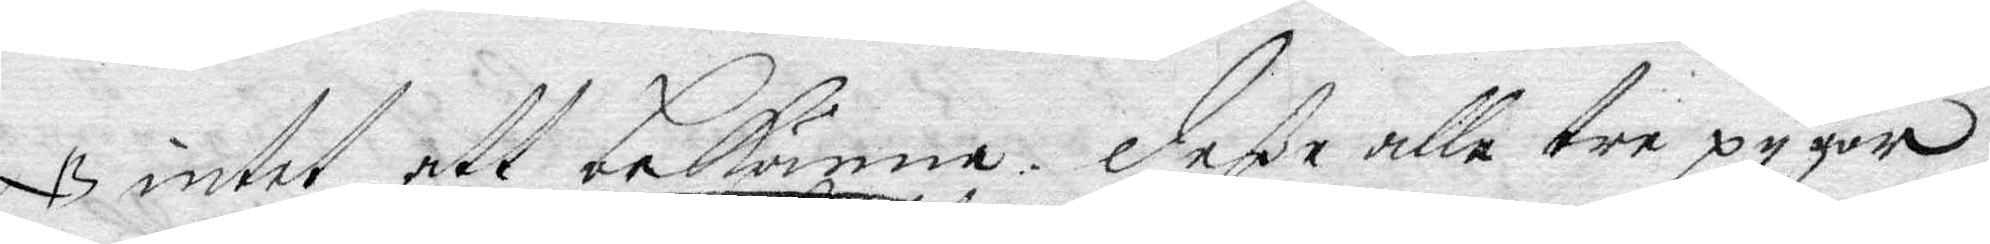NB intet att bekänna, deße alle tre pygor
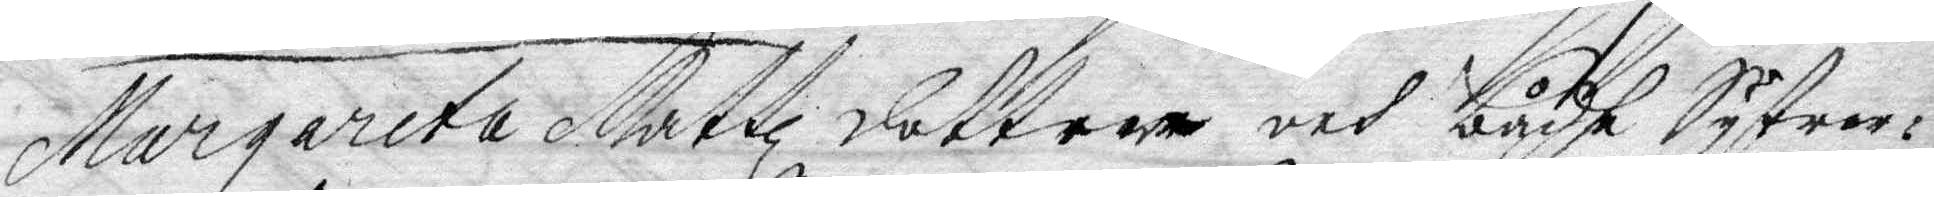Margareta Mattz dotter och bådhe Systrer¬
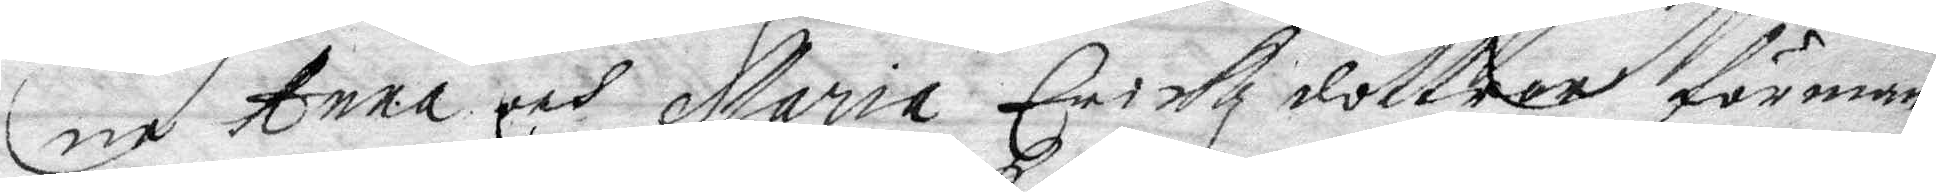ne Anna och Maria Erickz dottrar förman¬
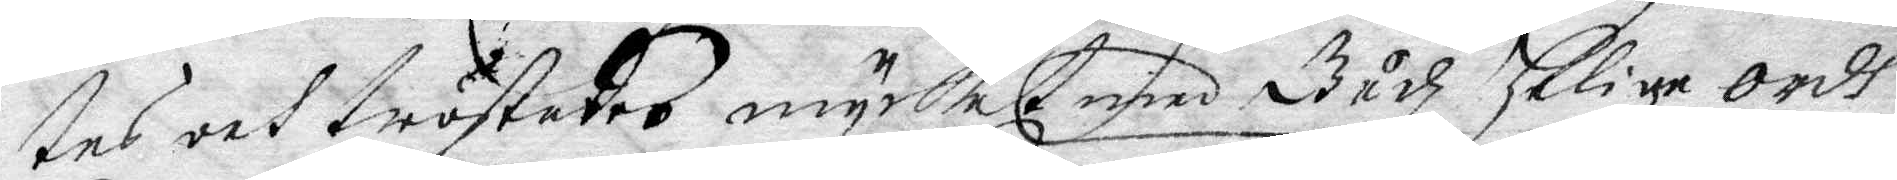tes och tröstades mycket med Gudz helige Ordh,
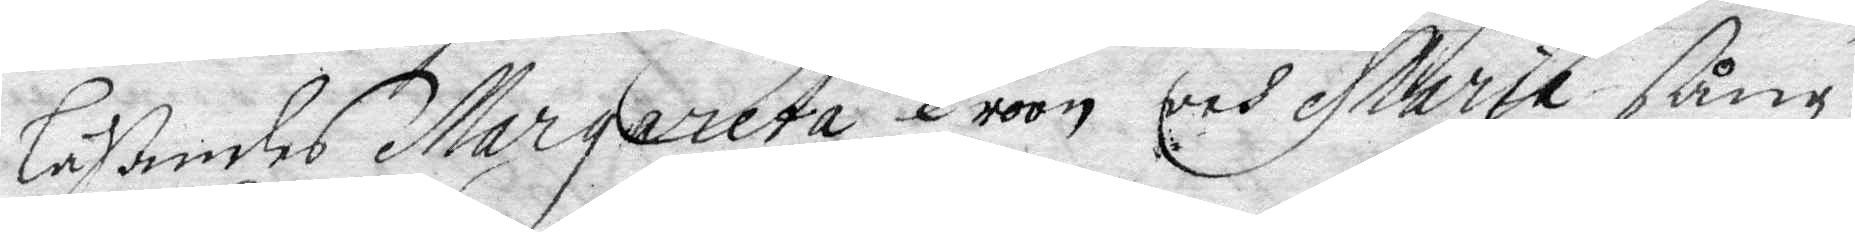läßandes Margareta Troon och Maria sång
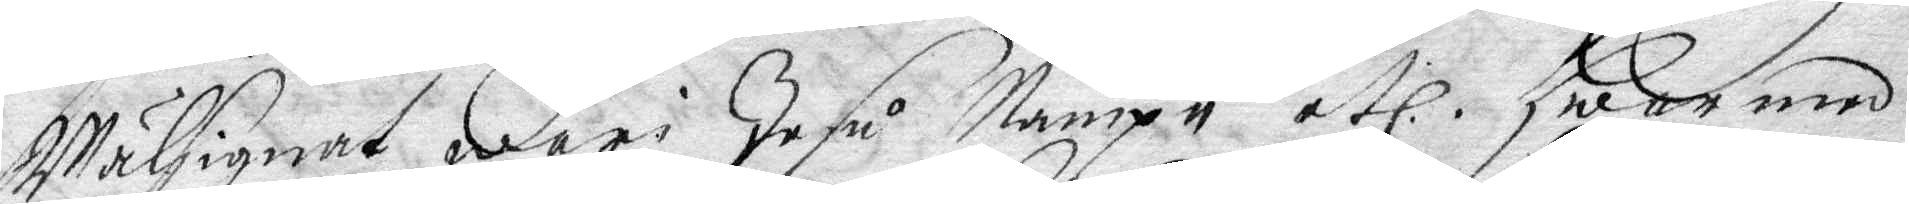Wälsignat wari Jesu Nampn etc. hwar med
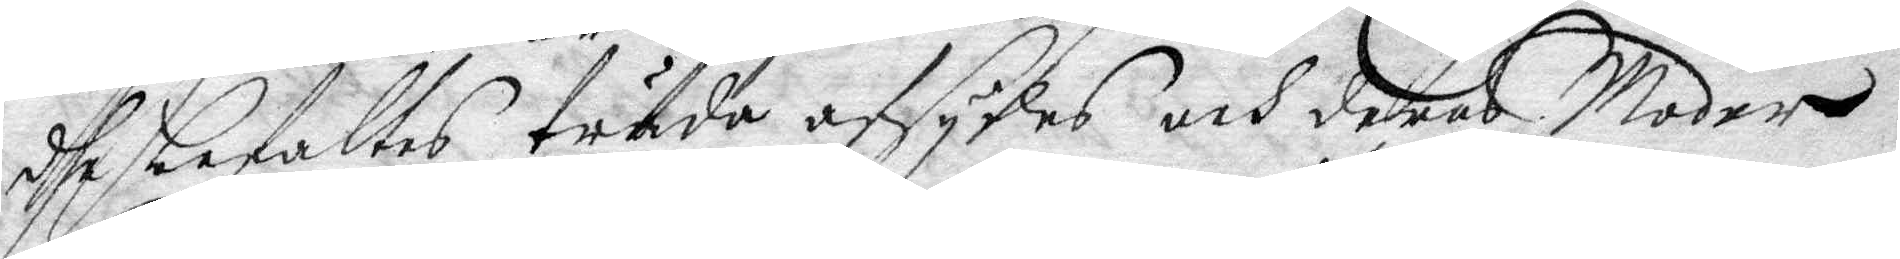dhe befaltes träda afsydes och deras Moder
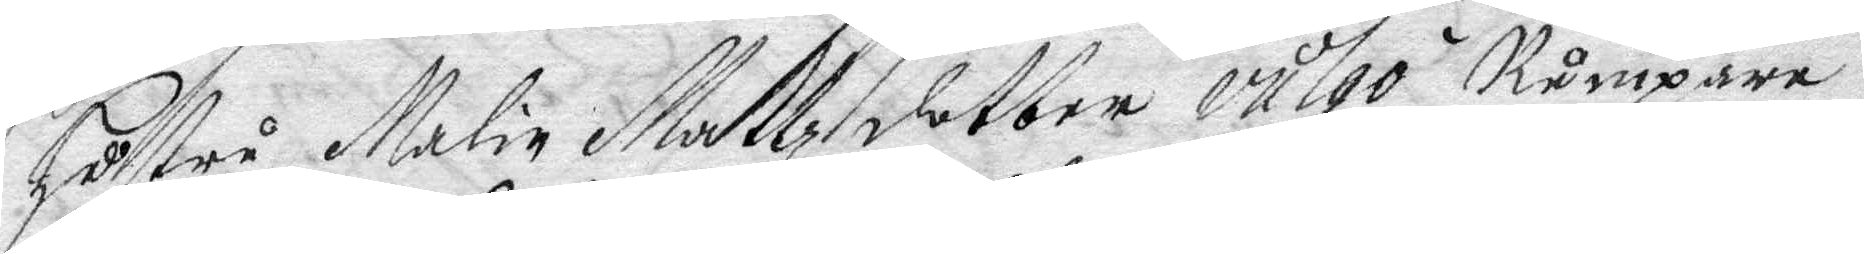hustru Malin Mattzdotter vulgo Rumpare
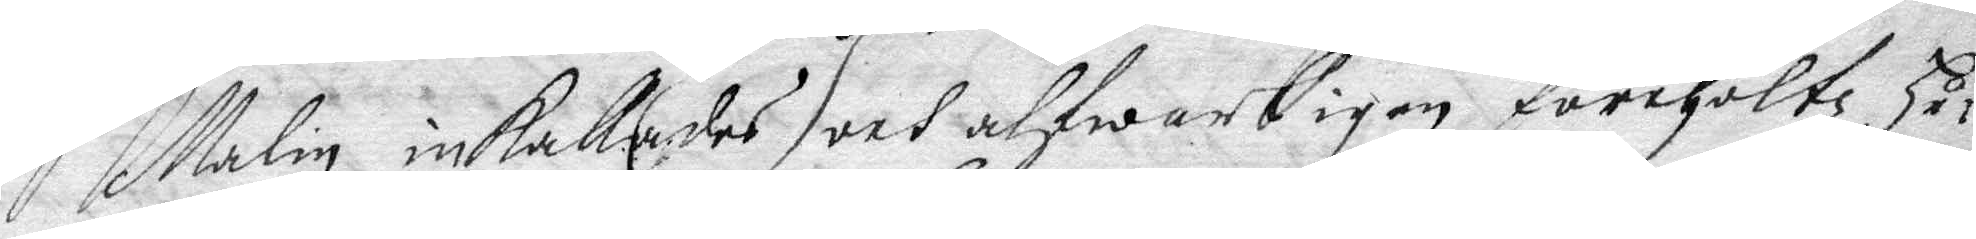Malin inkallades och alfwarligen förehöltz, hu¬
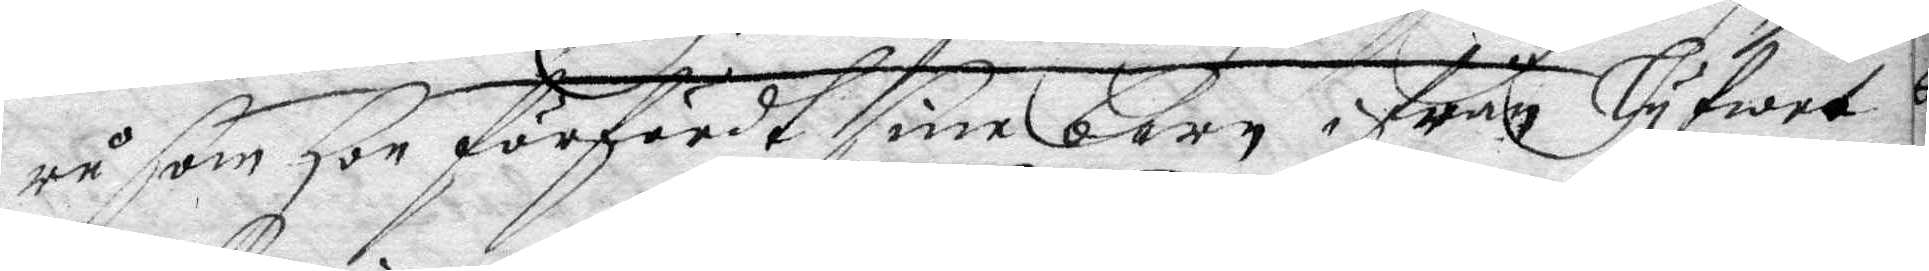ru som hon förfördt sine barn ifrån lyfwet
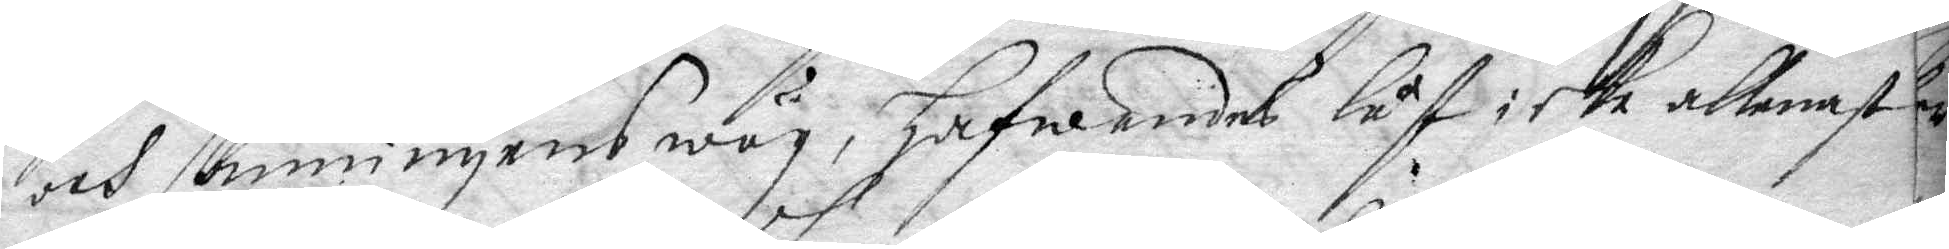och sanningens wäg, hafwandes låf icke allenast
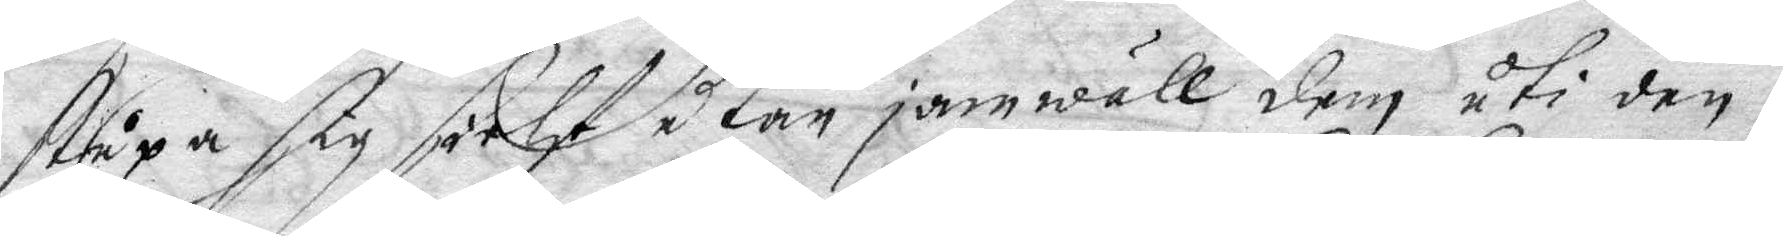stupa sig sielf utan jamwäl dem uti den
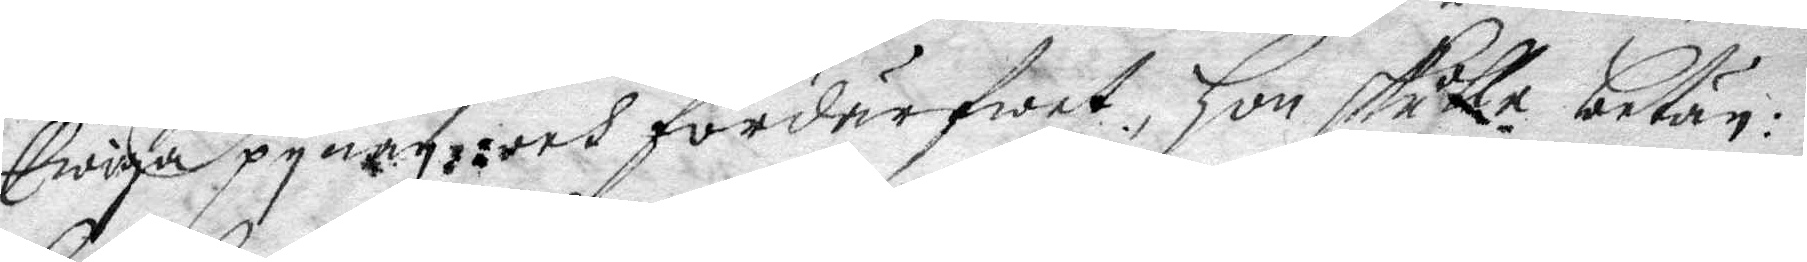Ewiga pynan: och fördärfwet, hon skulle betän¬
